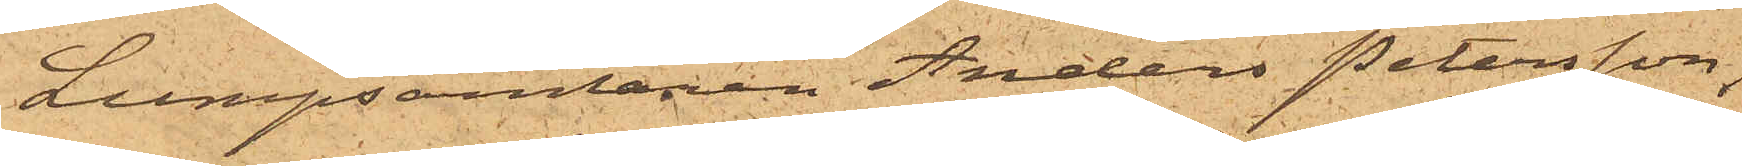Lumpsamlaren Anders Petersson,
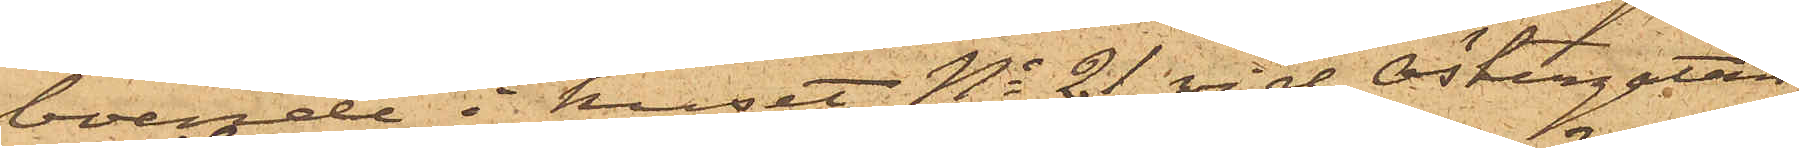boende i huset No 21 vid Östergatan,
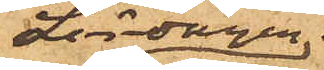Lördagen den
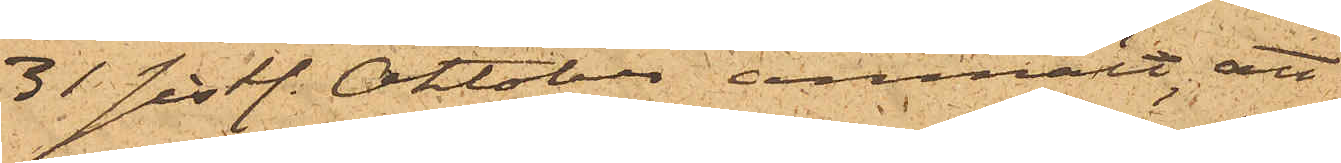31 sist. Oktober anmält, att
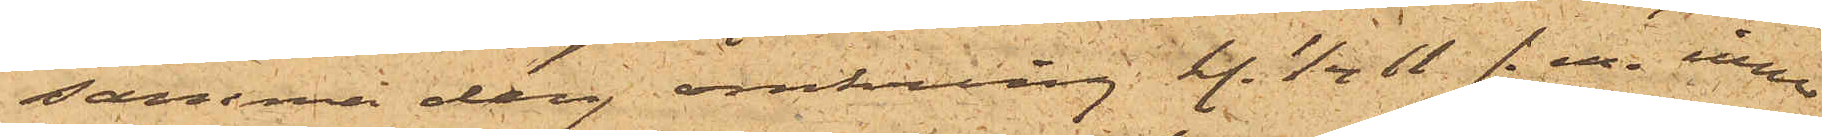samma dag omkring kl. ½11 f.m. inne
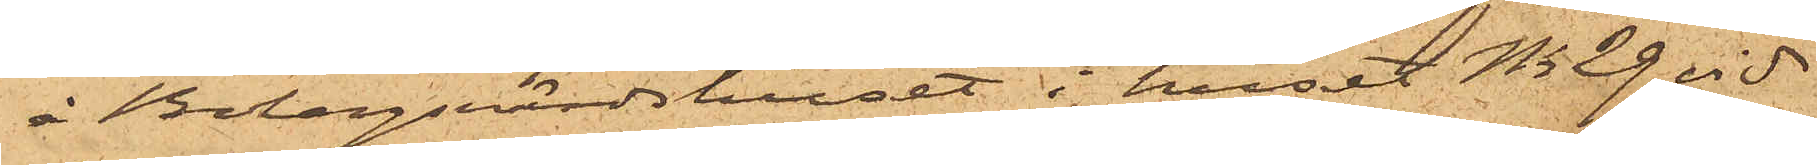å Bolagsvärdshuset i huset No 29 vid
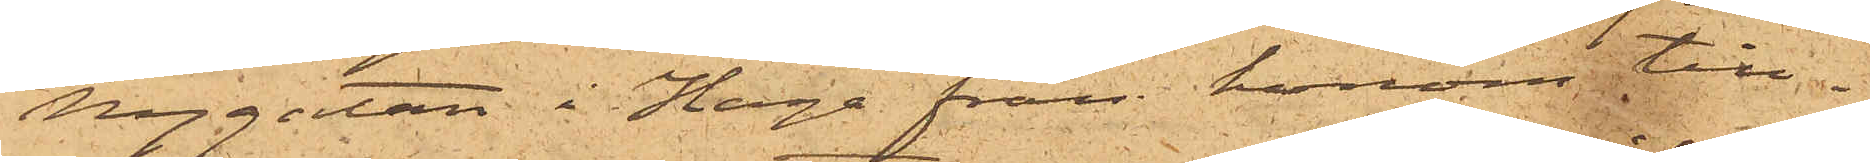Nygatan i Haga från honom till¬
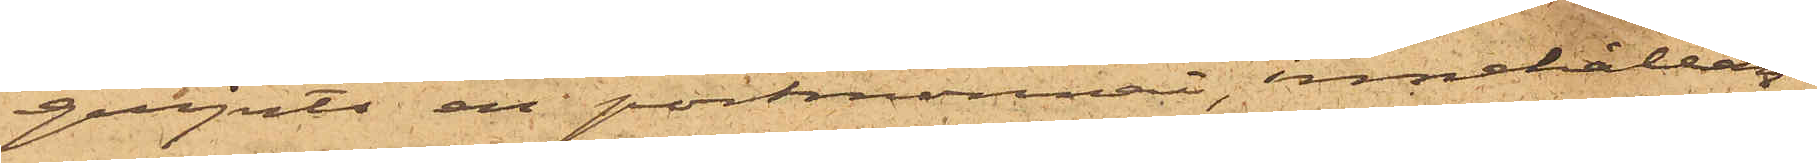gripits en portmonnai, innehållan¬
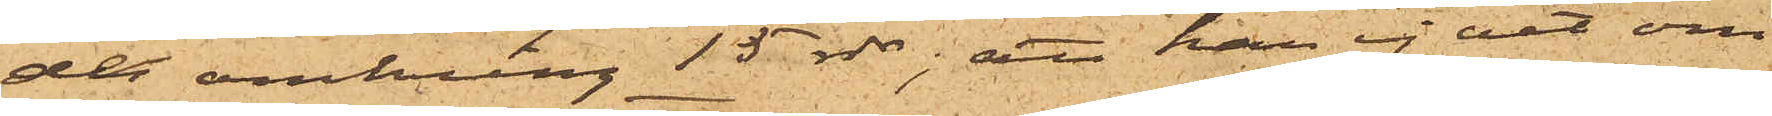de omkring 15 rdr; att han ej vet om
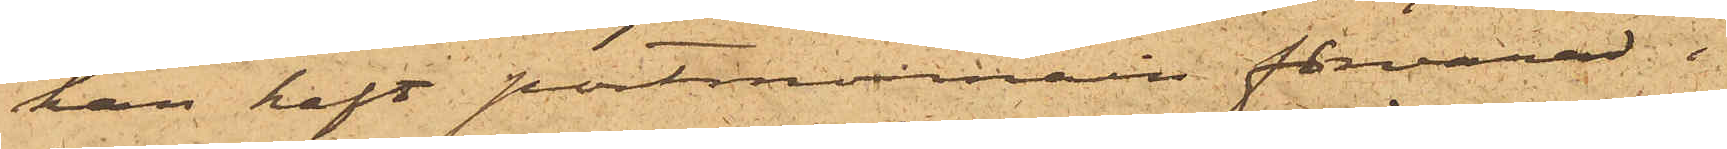han haft portmonnain förvarad i
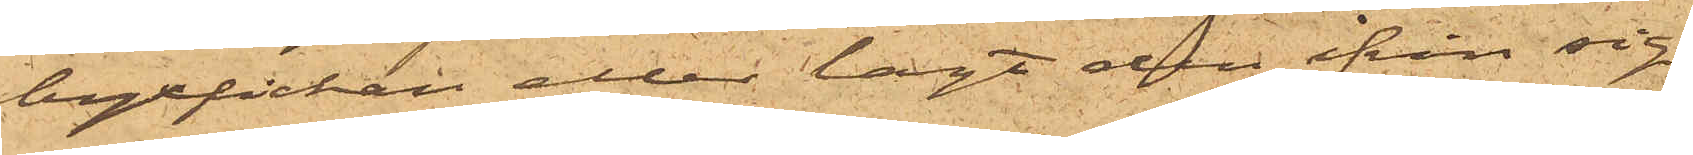byxfickan eller lagt den ifrån sig
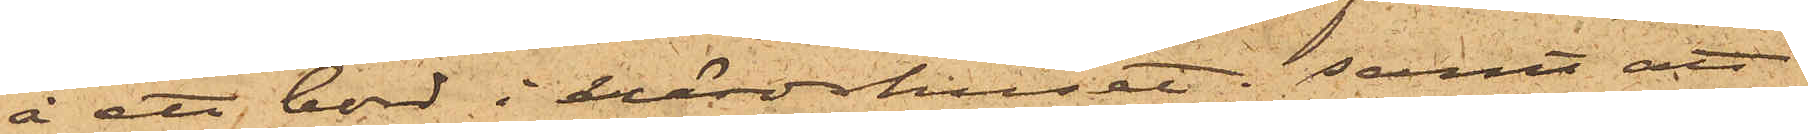å ett bord i värdshuset; samt att
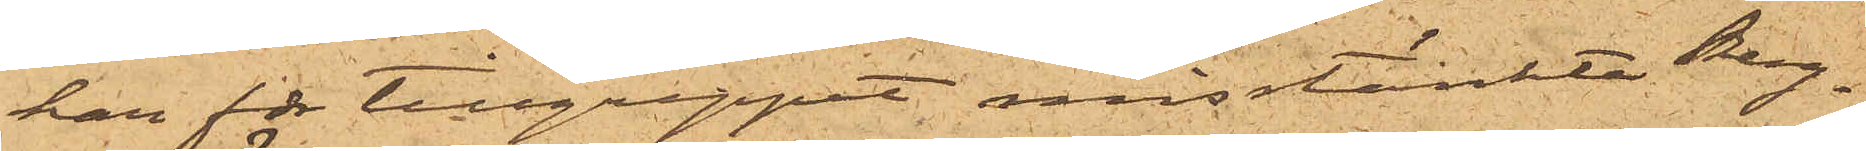han för tillgreppet, misstänkte Berg¬
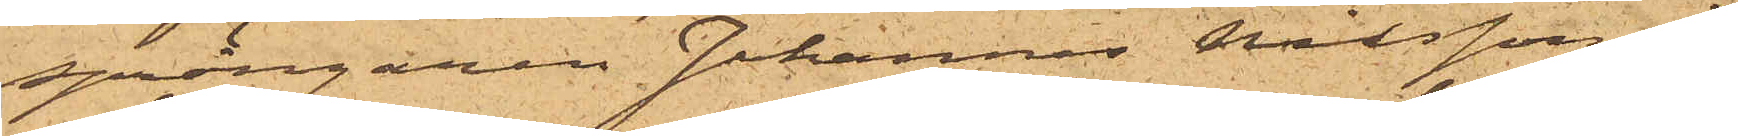sprängaren Johannes Nilsson, i
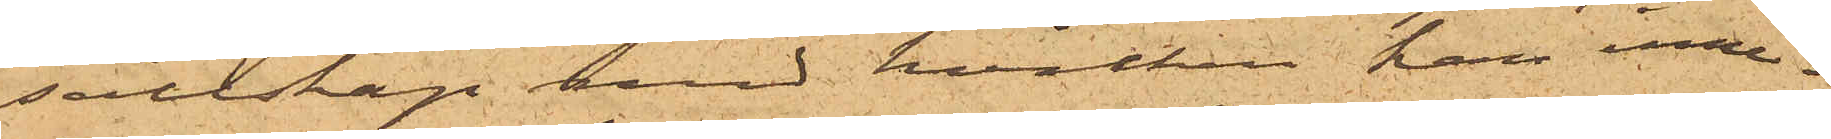sällskap med hvilken han inne¬
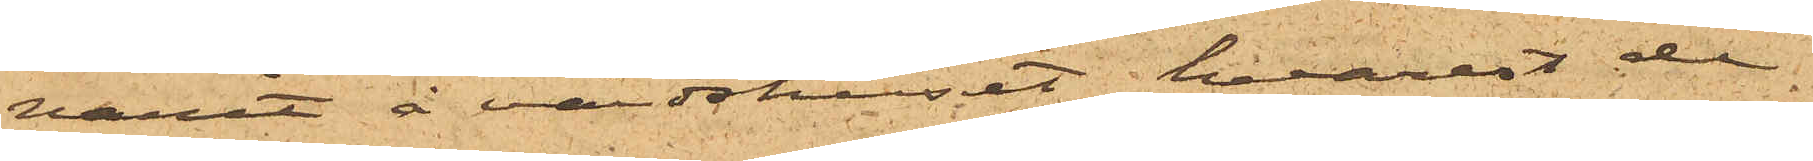varit å värdshuset, hvarest de
